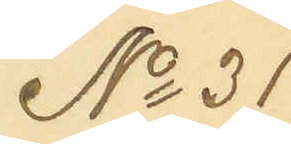No 31
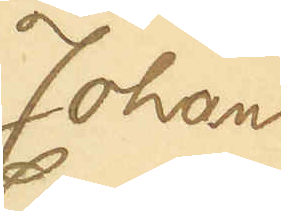Johan
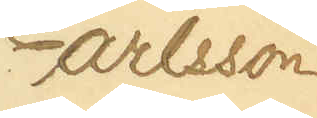Carlsson
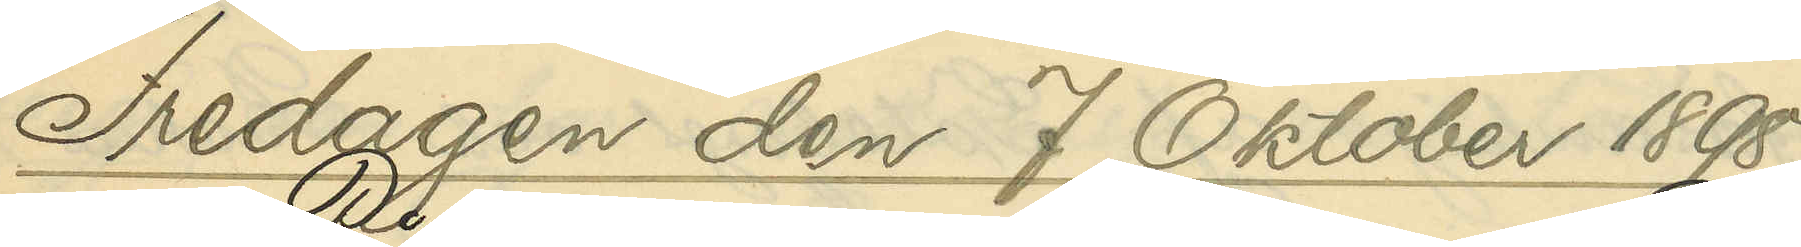Fredagen den 7 Oktober 1898.
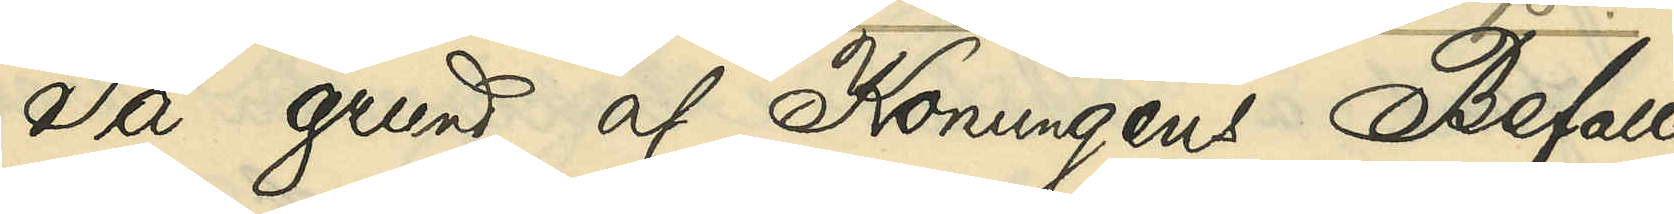På grund af Konungens Befall¬
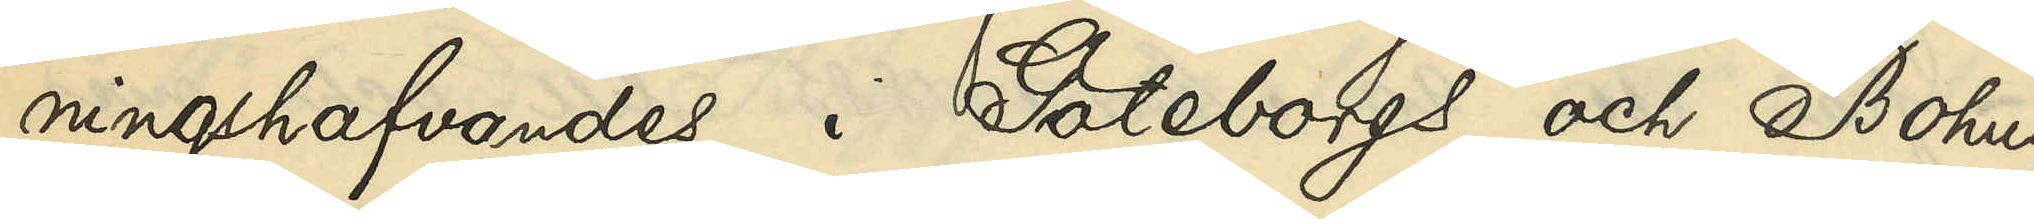ningshafvandes i Göteborgs och Bohus
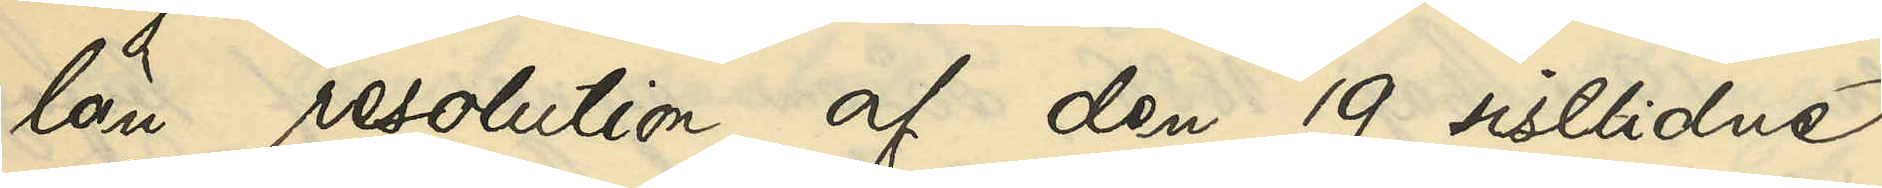län resolution af den 19 sistlidne
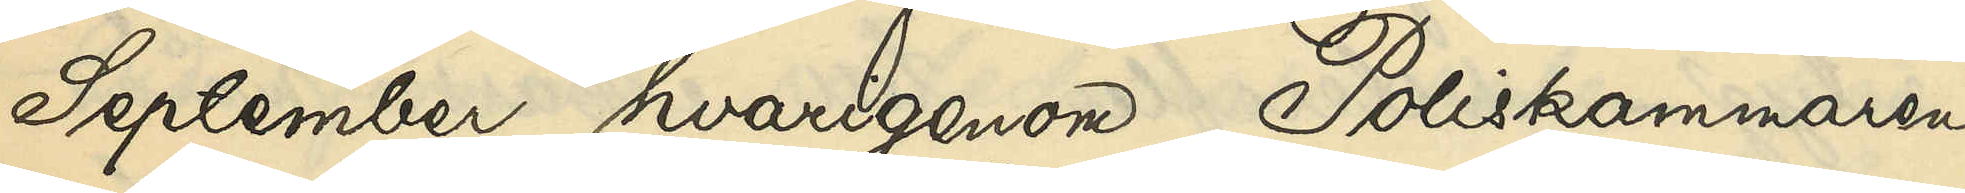September, hvarigenom Poliskammaren
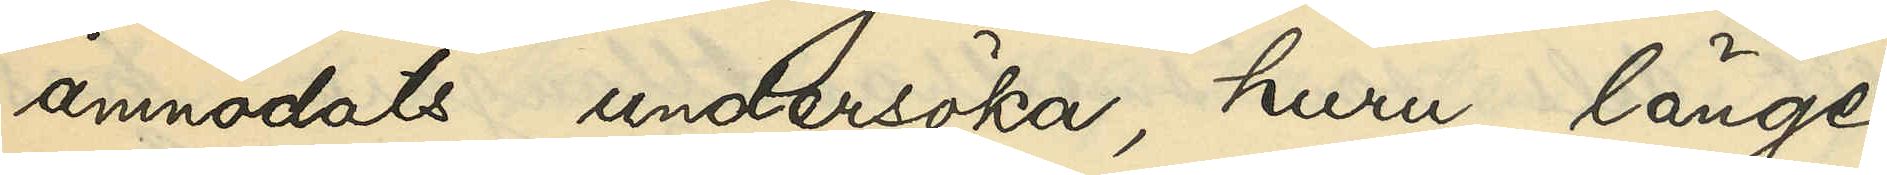anmodats undersöka, huru länge
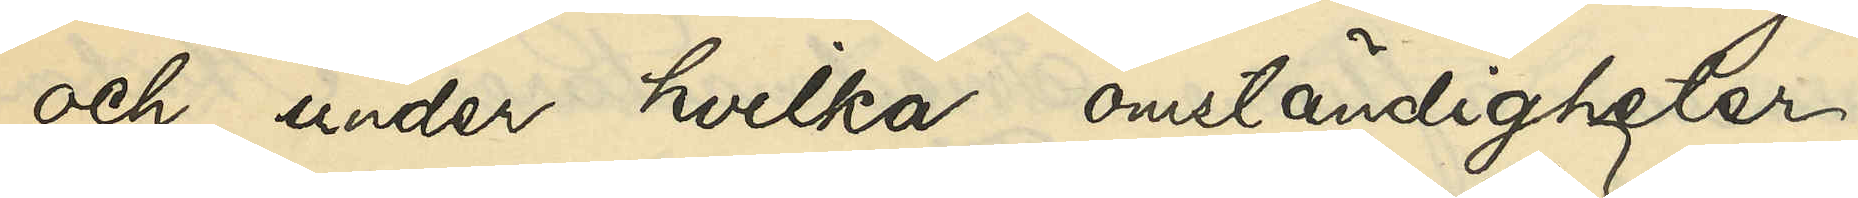och under hvilka omständigheter
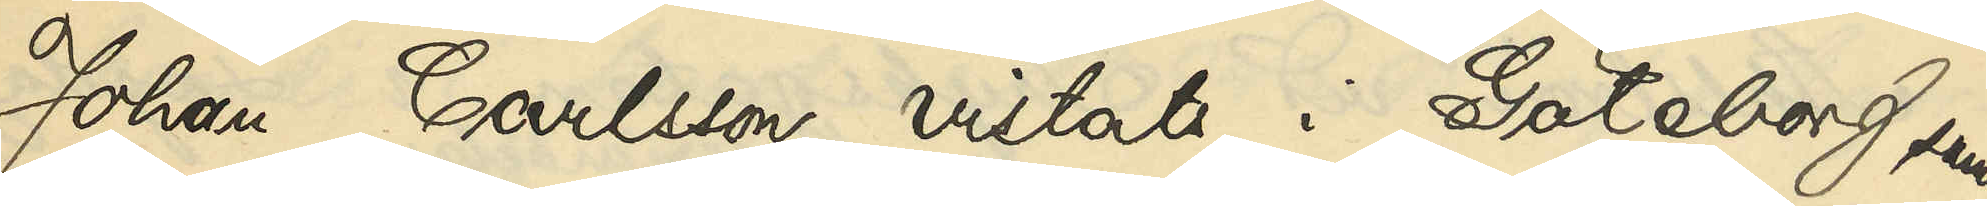Johan Carlsson vistats i Göteborg samt
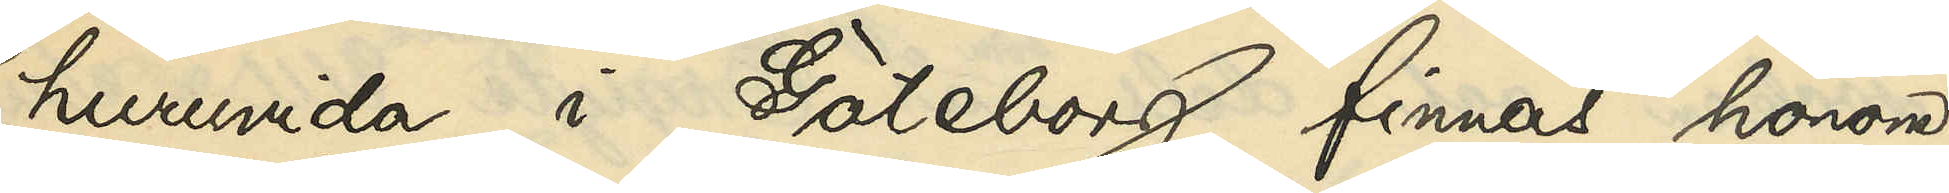huruvida i Göteborg finnas honom
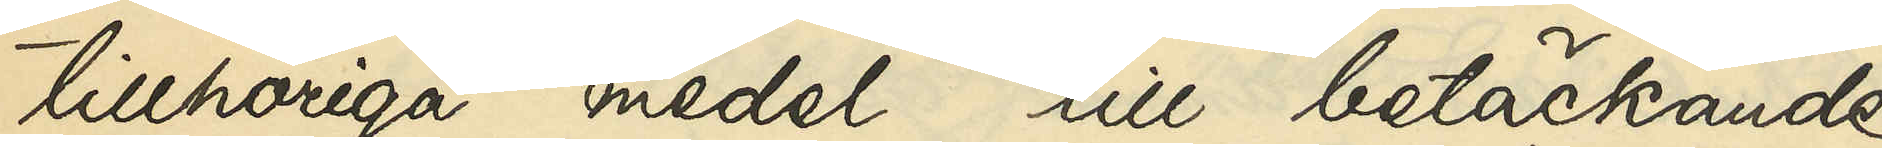tillhöriga medel till betäckande
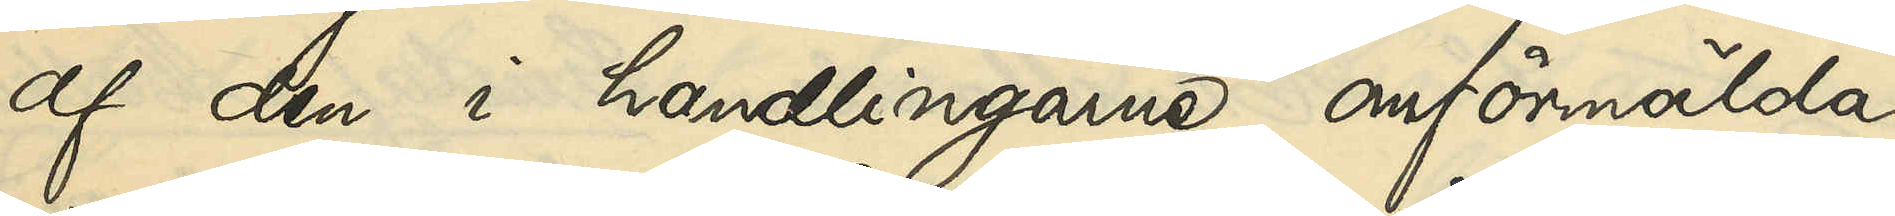af den i handlingarne omförmälda
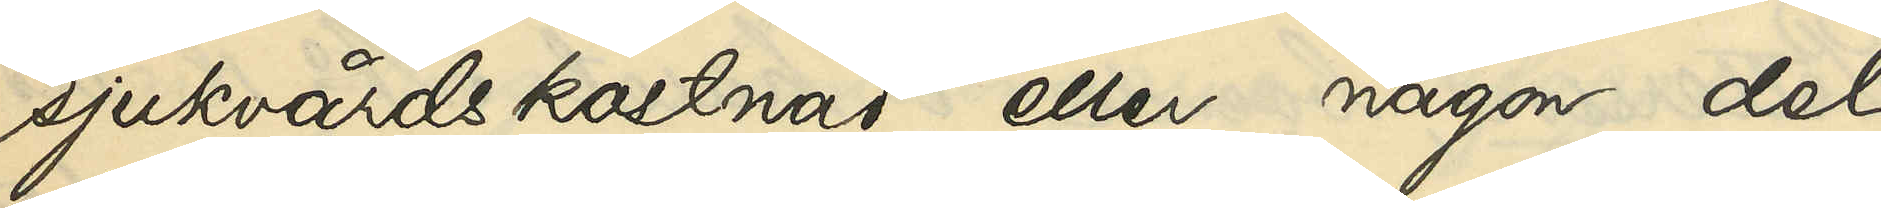sjukvårdskostnad eller någon del
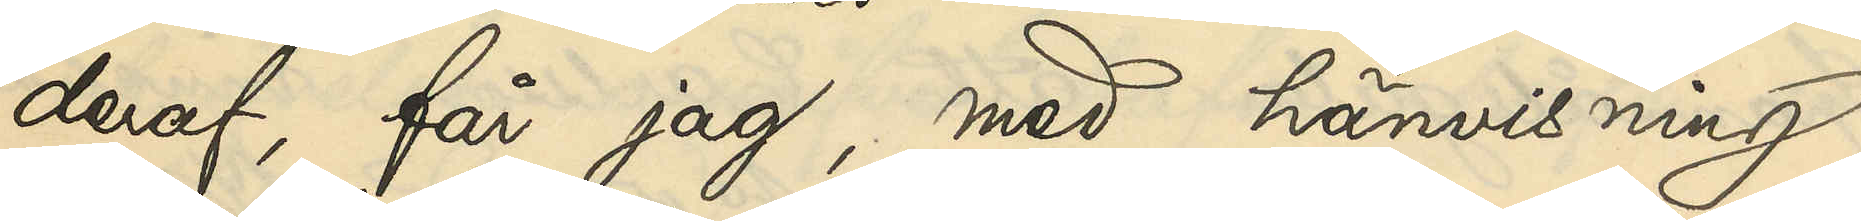deraf, får jag, med hänvisning
